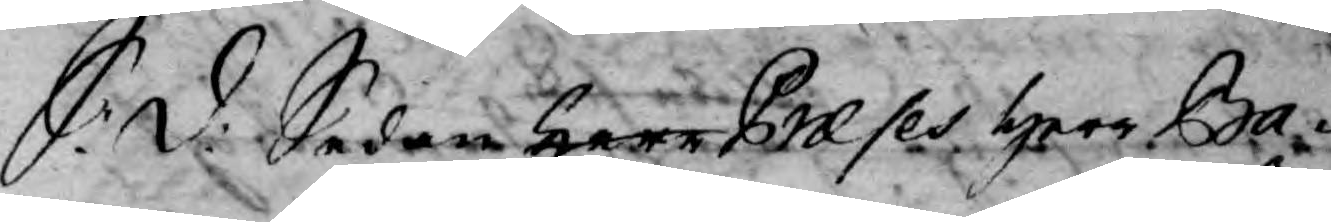S: D: Sedan Herr Præses Herr Ba¬
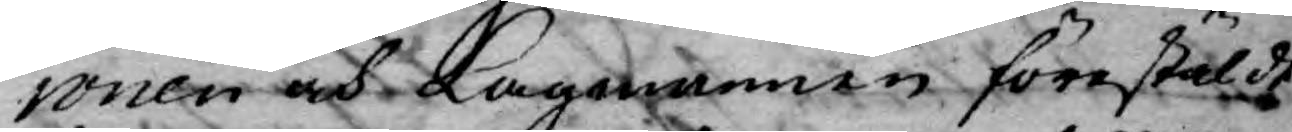ronen och Lagmannen förestäldt
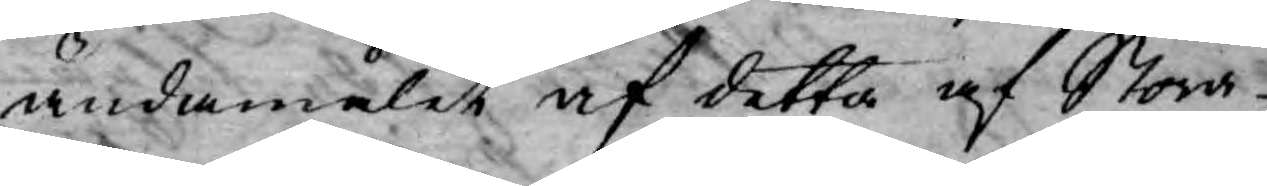ändamålet af detta af Stora
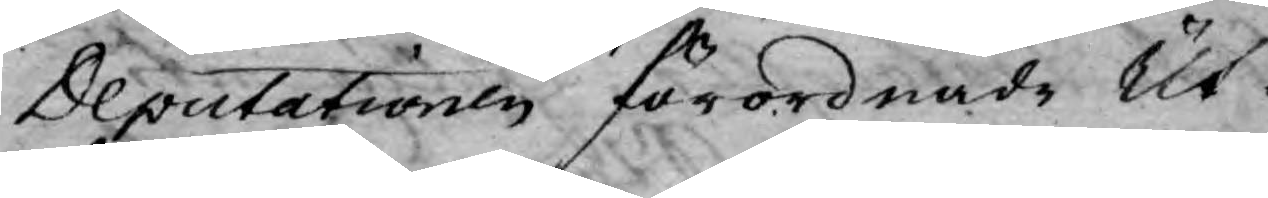Deputationen förordnade Ut¬
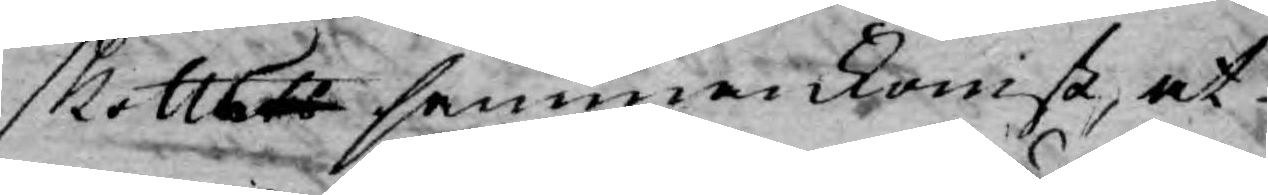skottet sammankomst, at
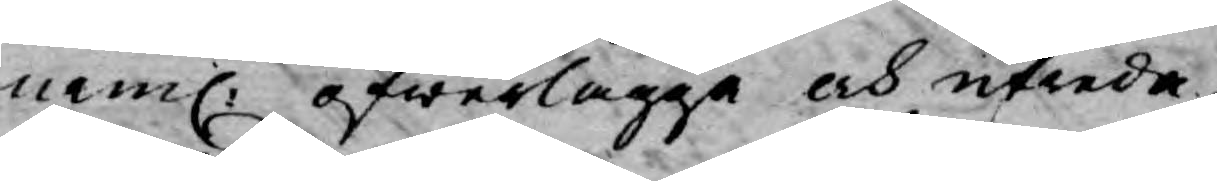neml. öfwerlägga och utreda
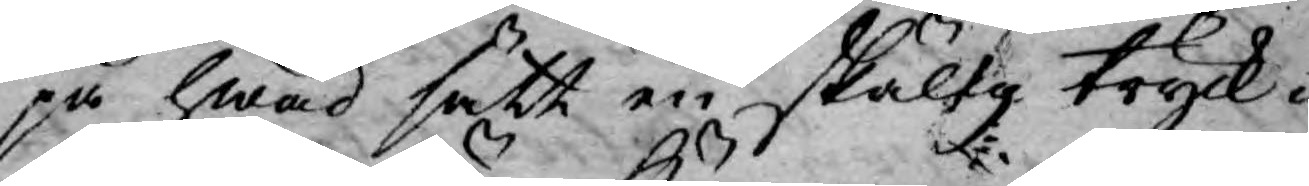på hwad sätt en skälig tryck¬
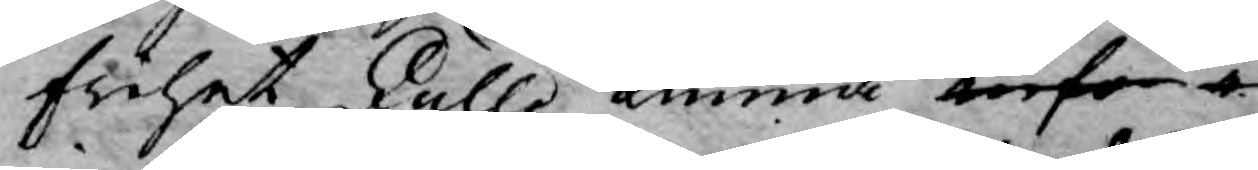frihet skulle kunna inför i
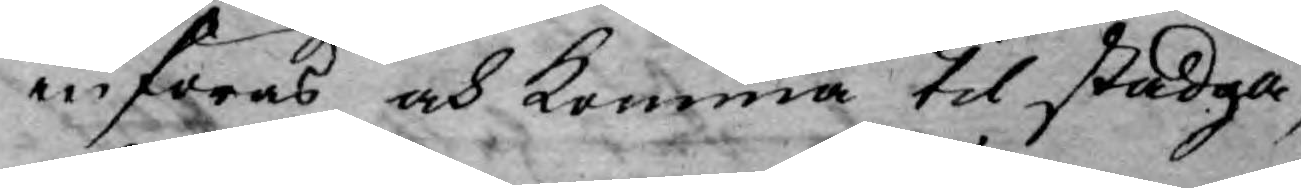införas och komma til stadga,
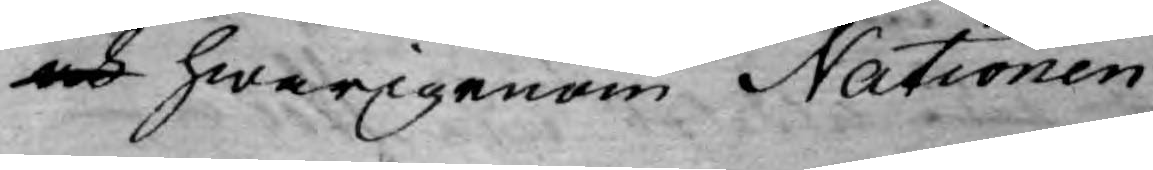och hwarigenom Nationen
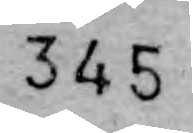345
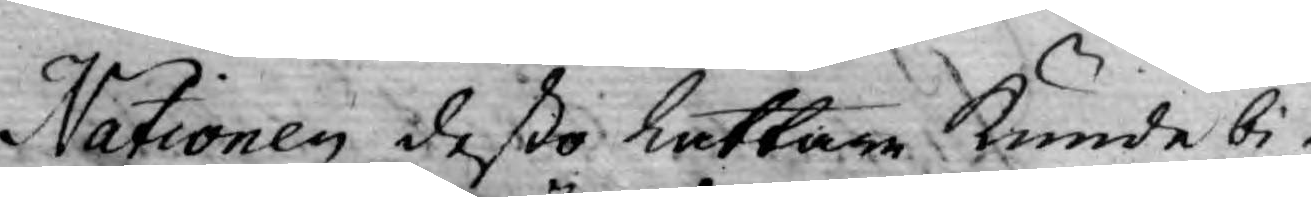Nationen deßo lättare kunde bi¬
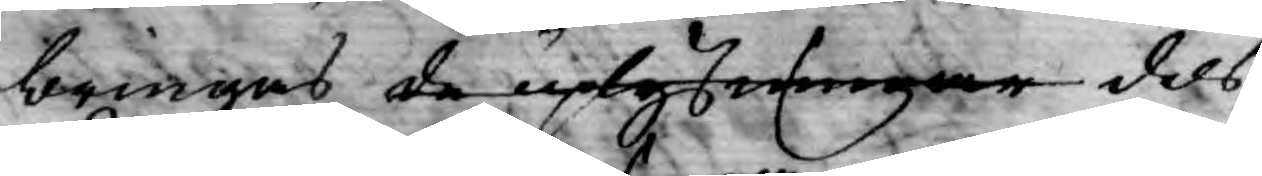bringas de uplysningar dels
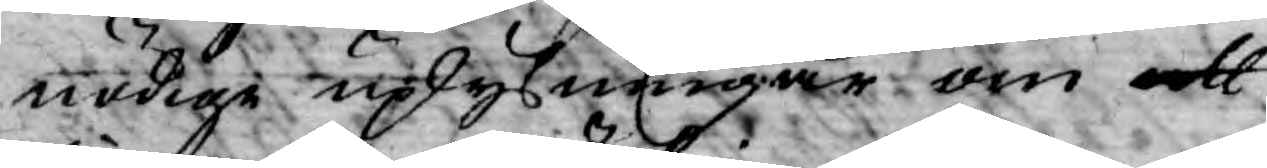nödige uplysningar om att
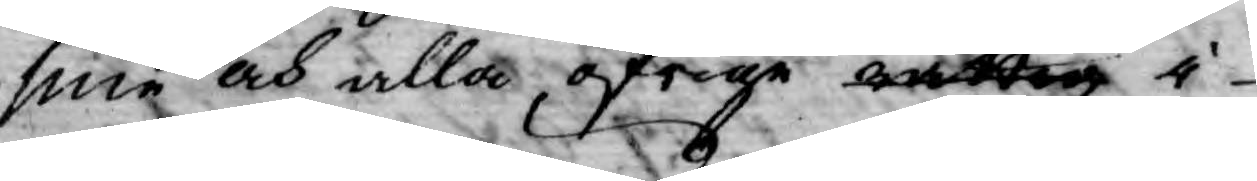sine och alla öfrige rättig i
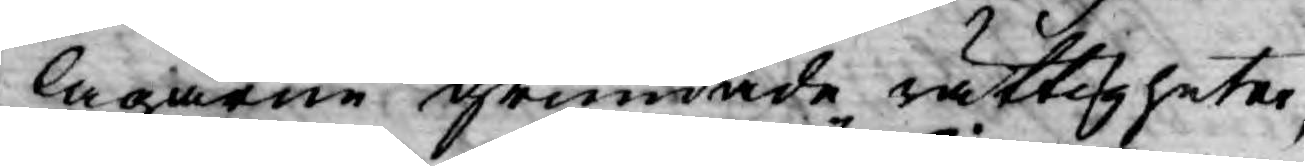lagarne grundade rättigheter,
